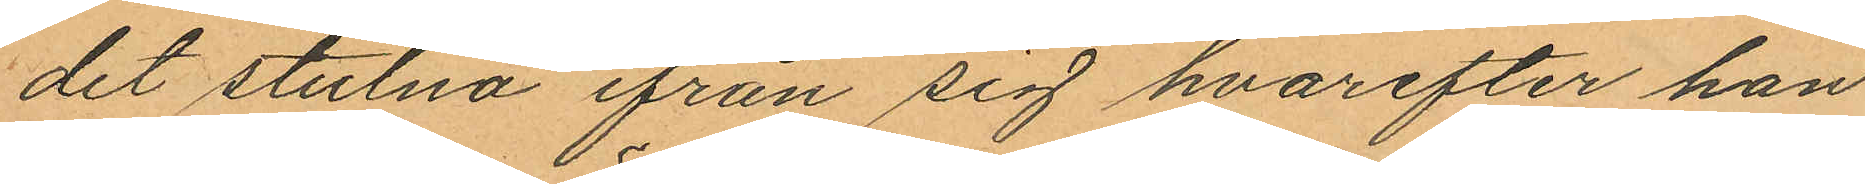det stulna ifrån sig hvarefter han
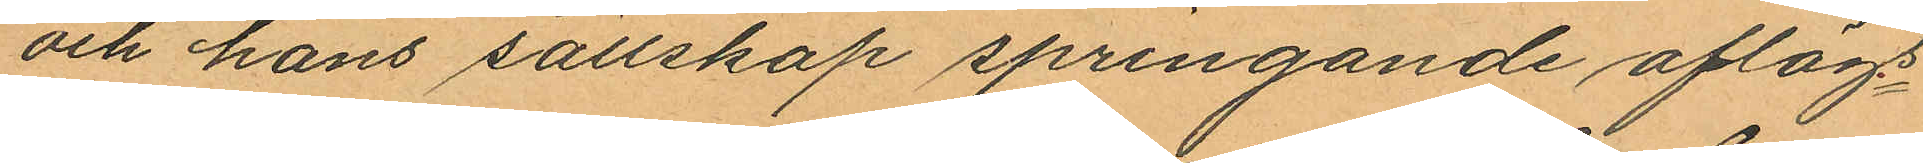och hans sällskap springande aflägs¬
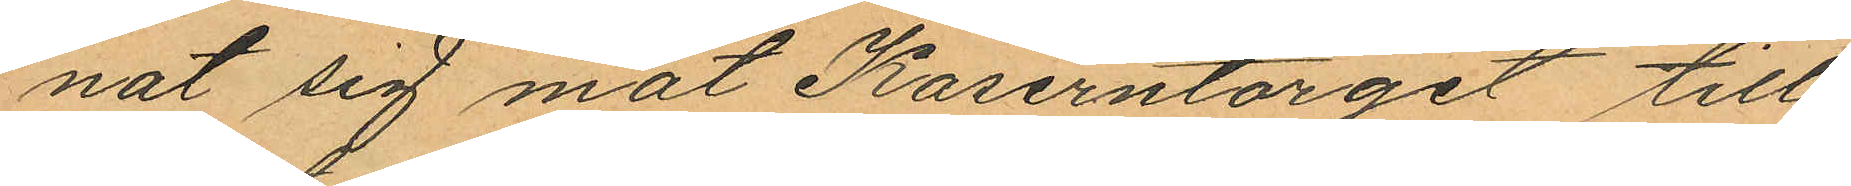nat sig mot Kaserntorget till,
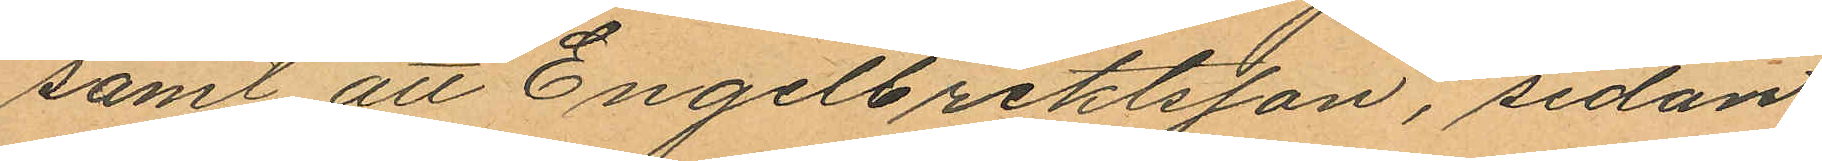samt att Engelbrektsson, sedan
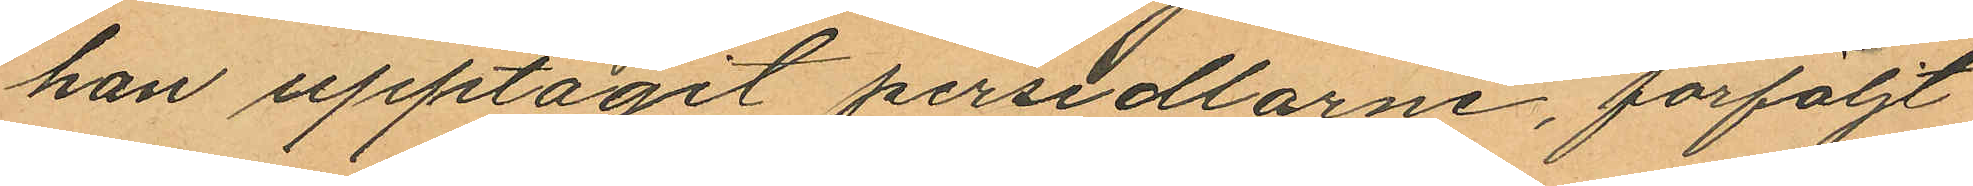han upptagit persedlarne, förföljt
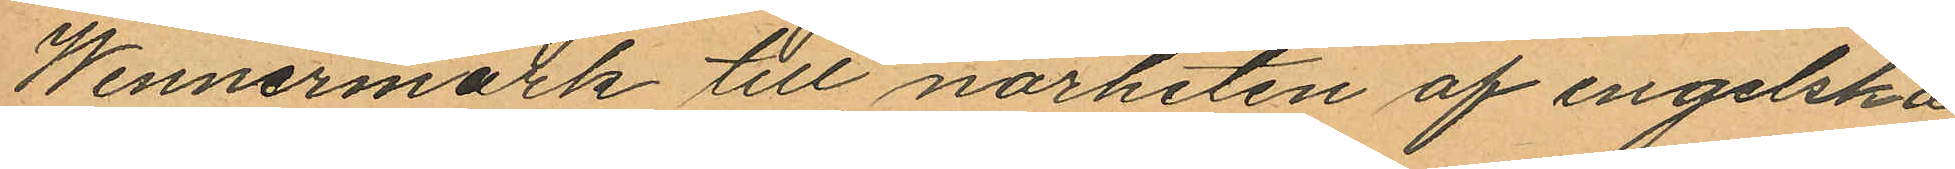Wennermark till närheten af engelska
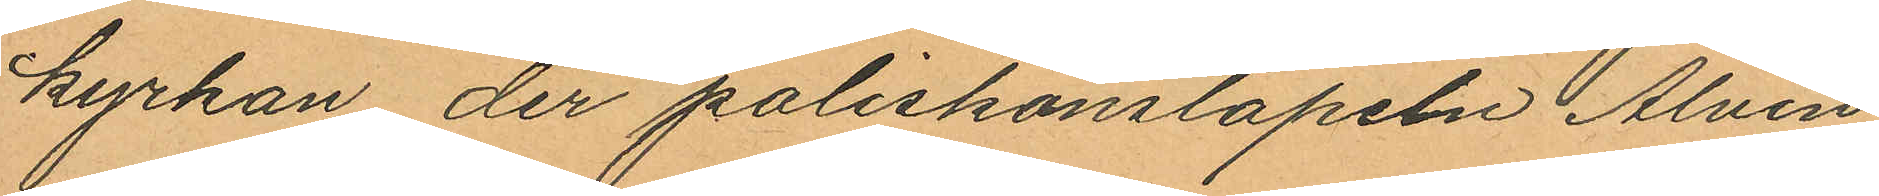kyrkan der poliskonstapeln Alvin
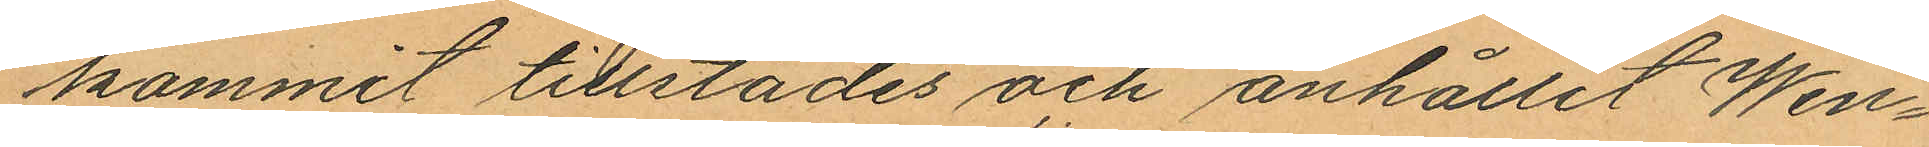kommit tillstädes och anhållit Wen¬
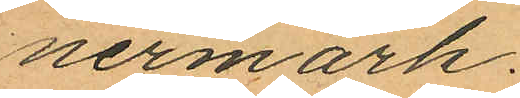nermark.
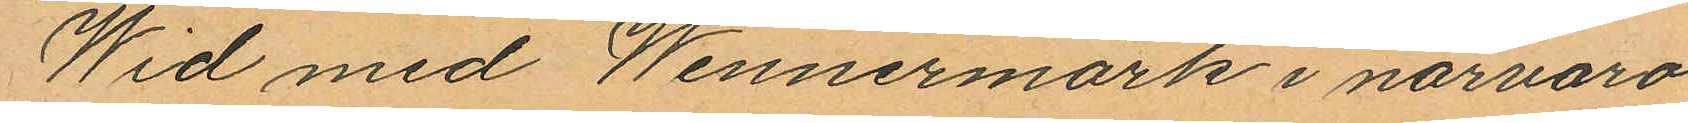Wid med Wennermark i närvaro
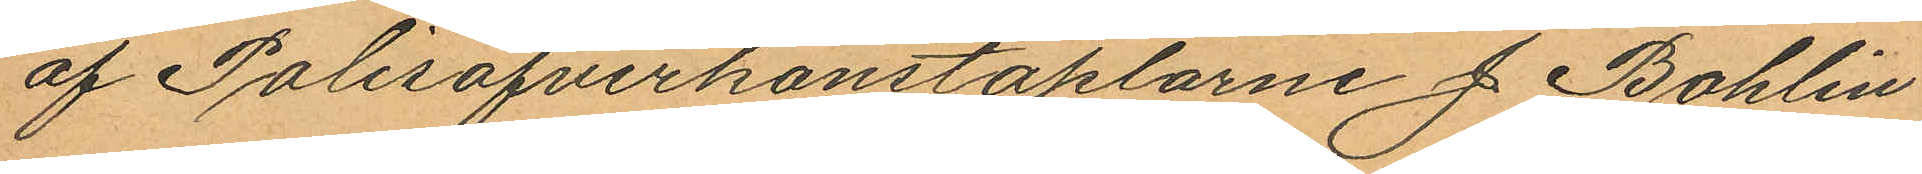af Polisöfverkonstaplarne J. Bohlin
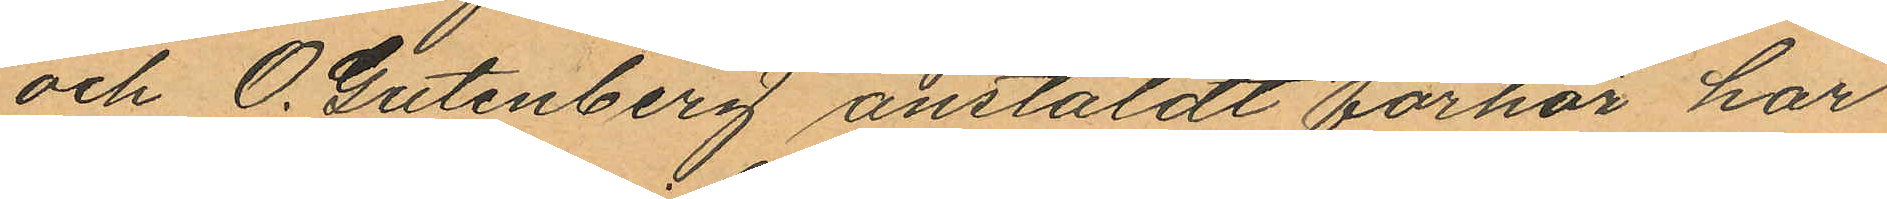och O. Gutenberg anstäldt förhör har
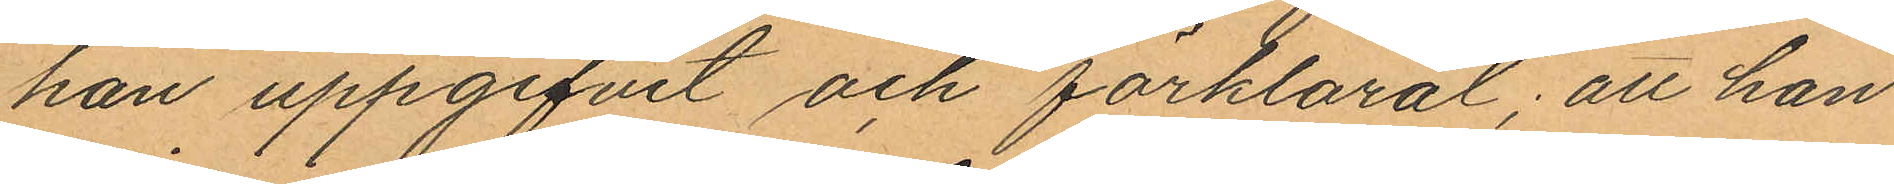han uppgifvit och förklarat; att han
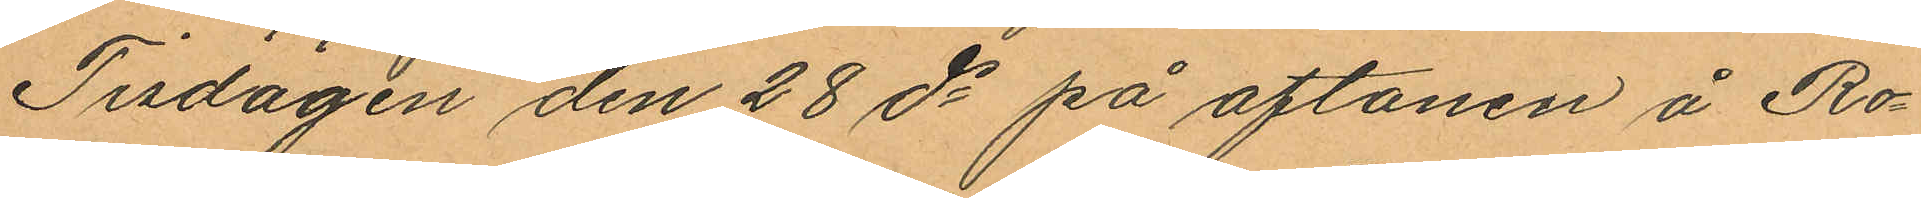Tisdagen den 28 ds på aftonen å Ro¬
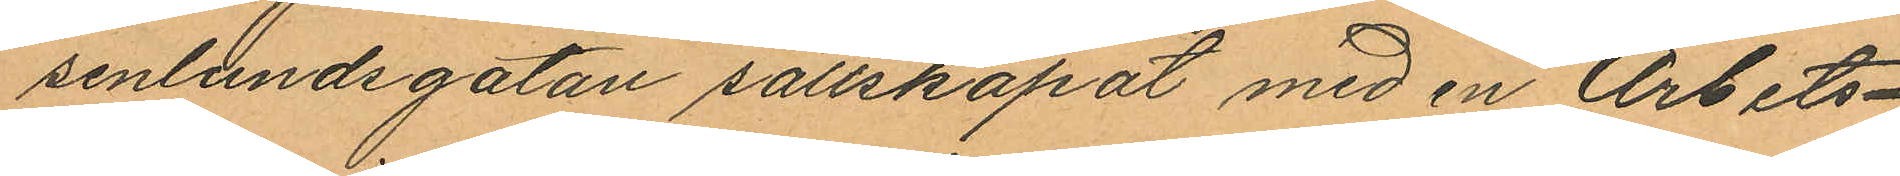senlundsgatan sällskapat med en Arbets¬
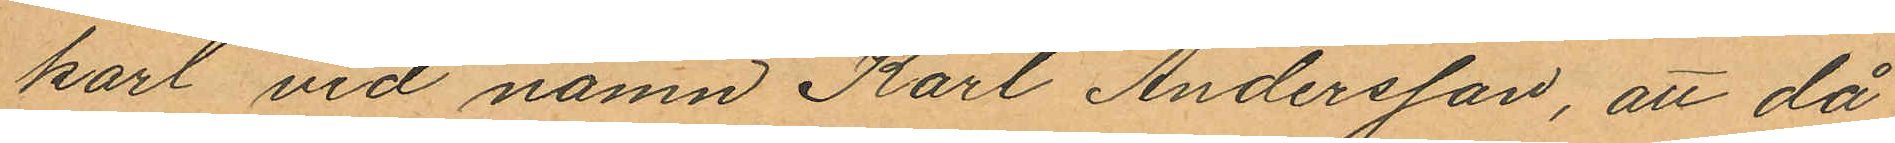karl vid namn Karl Andersson, att då
